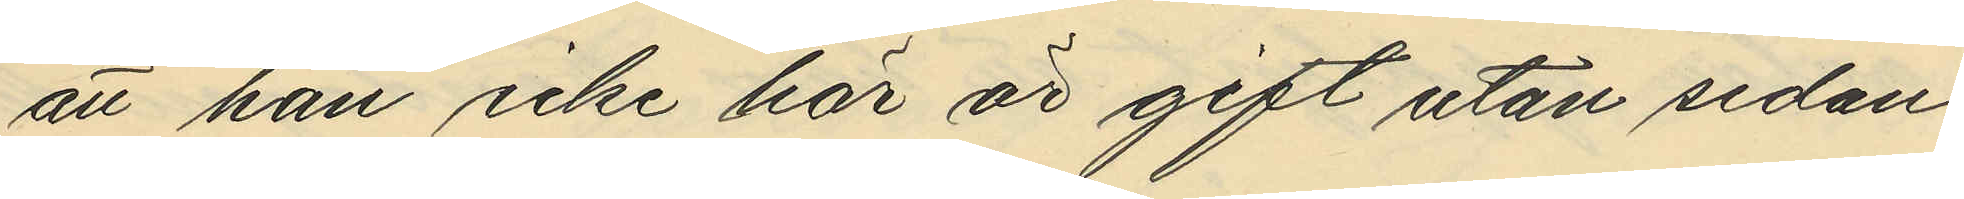att han icke här är gift utan sedan
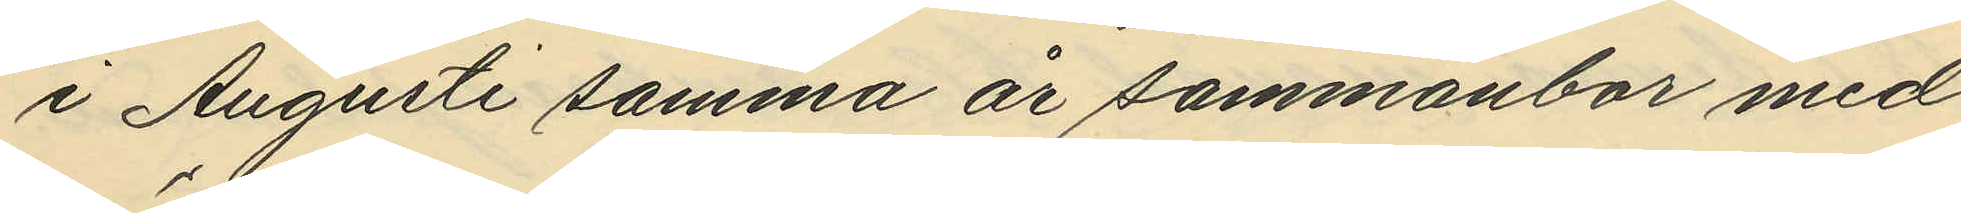i Augusti samma år sammanbor med
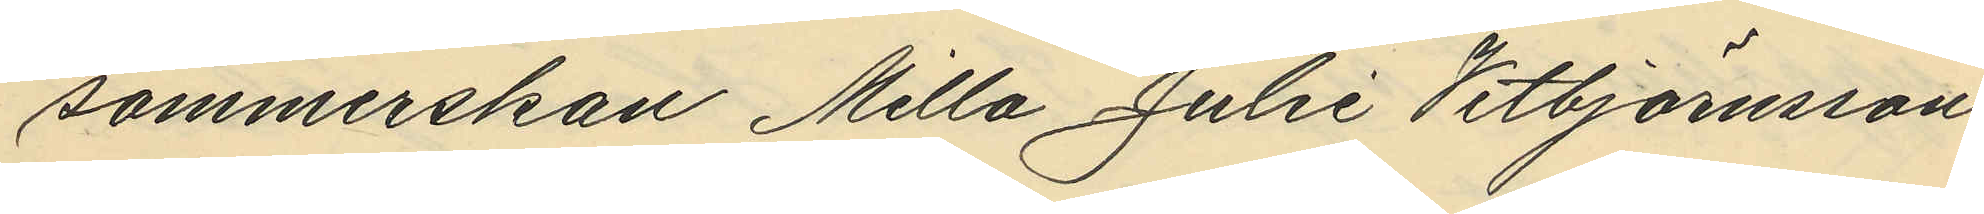sömmerskan Milla Julie Vitbjörnsson
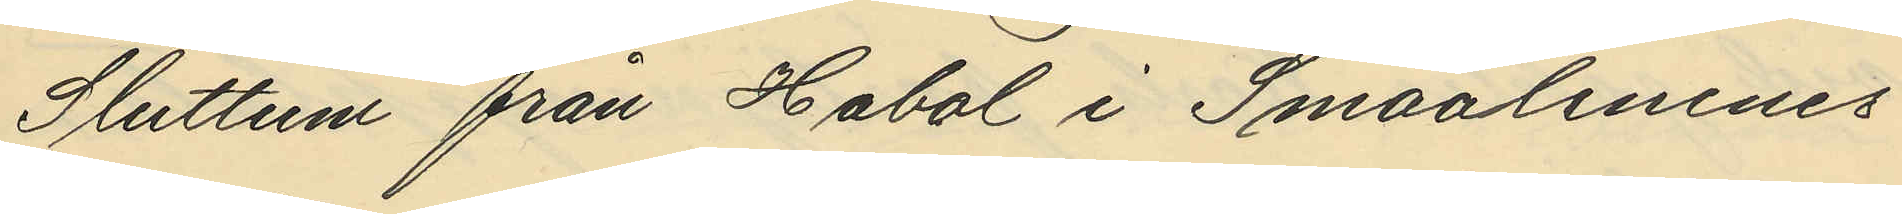Sluttum från Habol i Smaalenenes
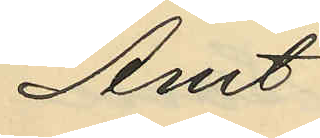Amt
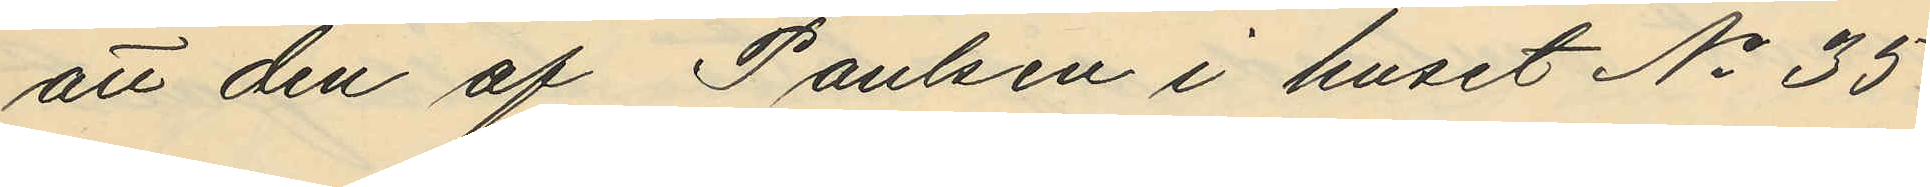att den af Paulsen i huset No 35
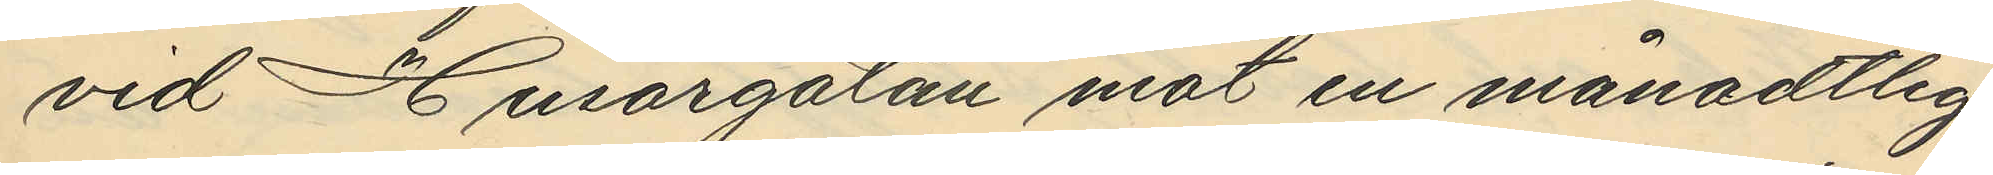vid Husargatan mot en månatlig
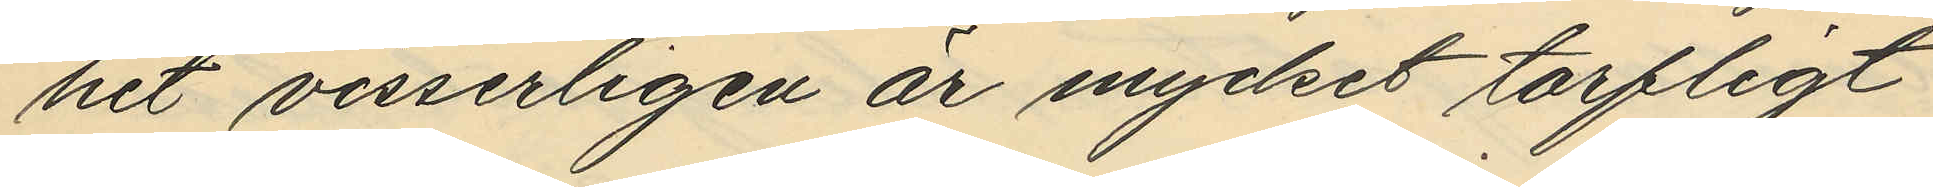het visserligen är mycket torfligt
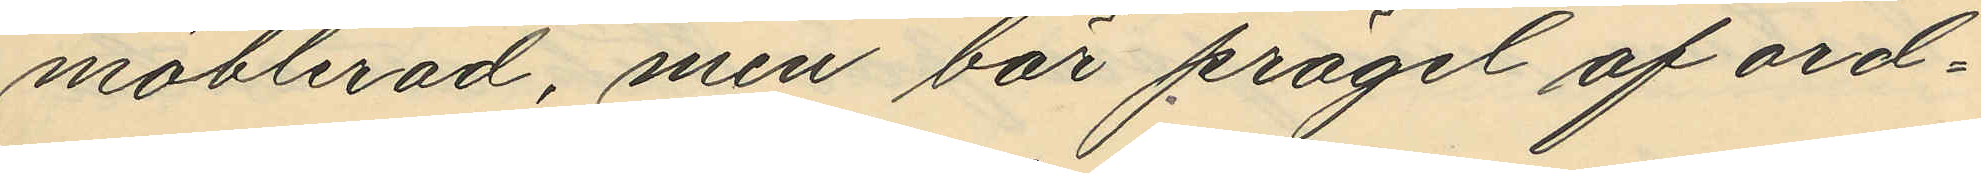möblerad, men bär prägel af ord¬
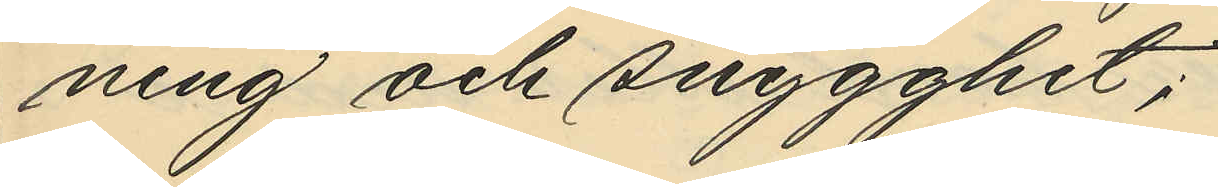ning och snygghet;
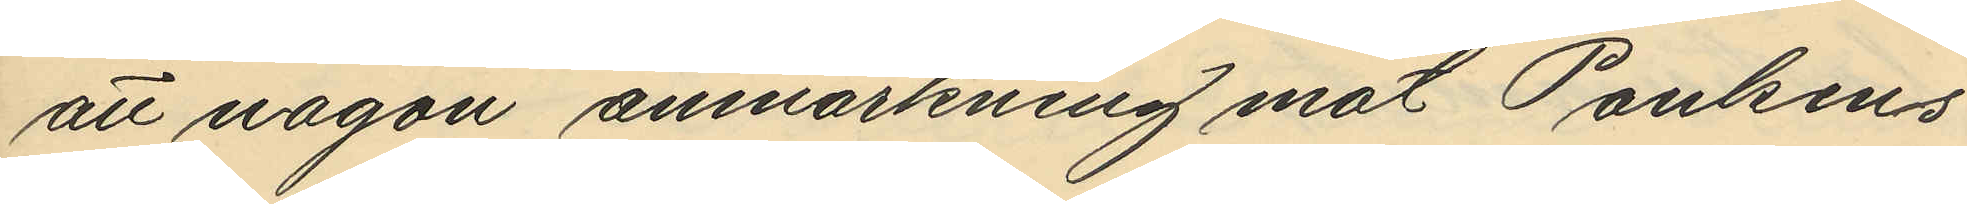att någon anmärkning mot Paulsen
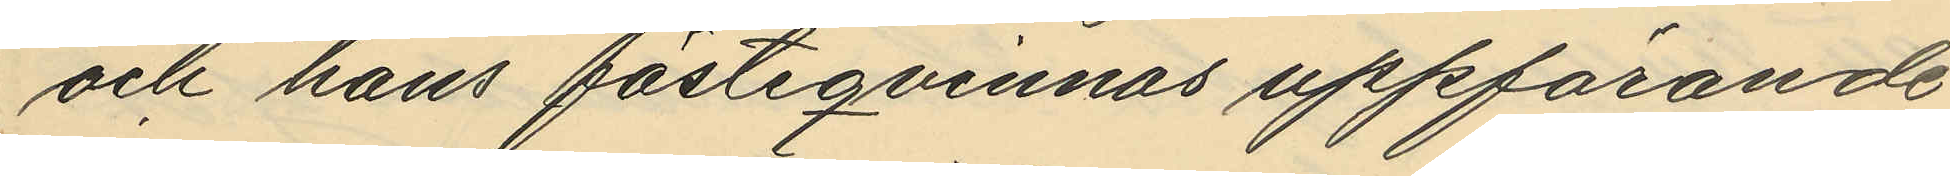och hans fästeqvinnas uppförande
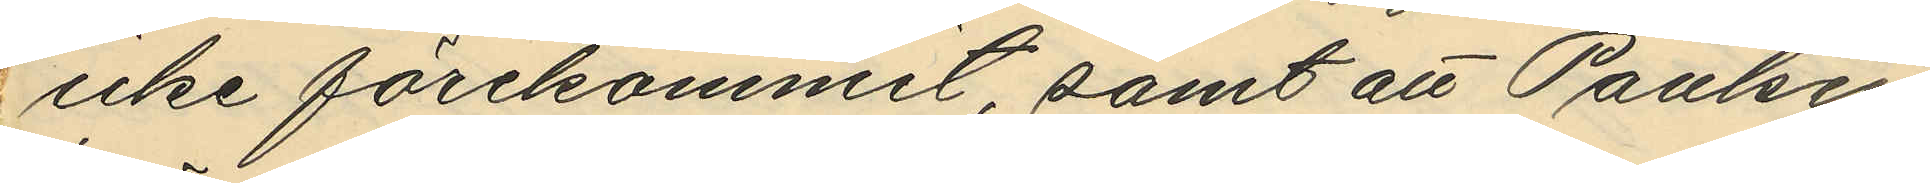icke förekommit, samt att Paulsen
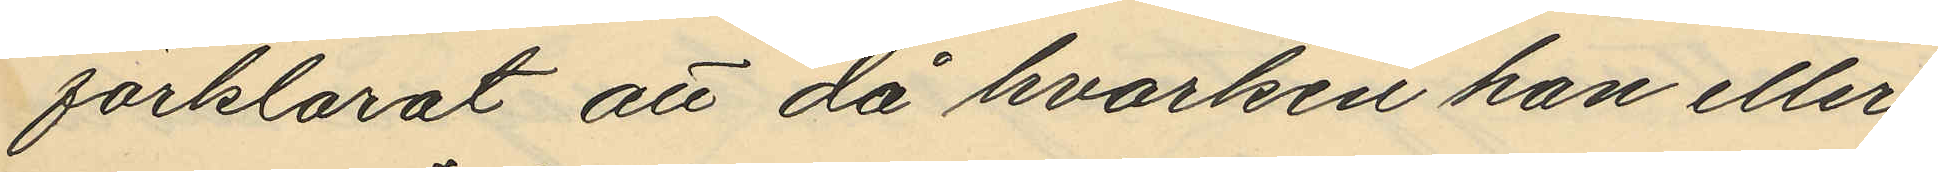förklarat att då hvarken han eller
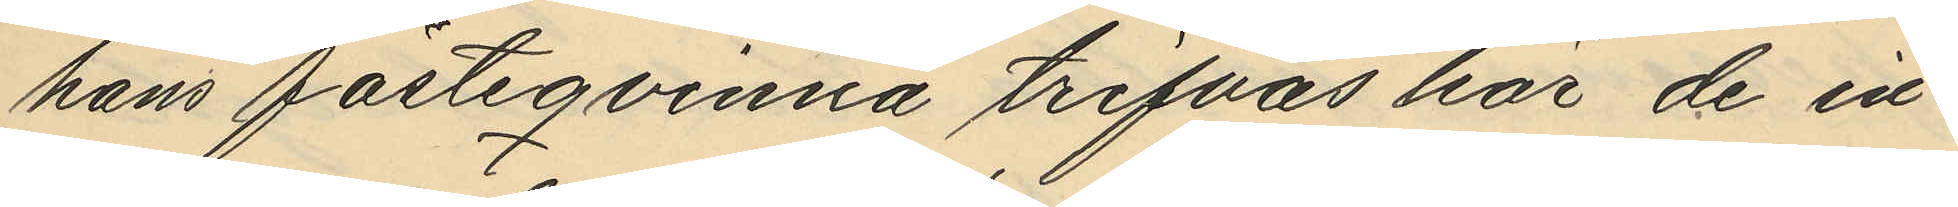hans fästeqvinna trifvas har de in¬
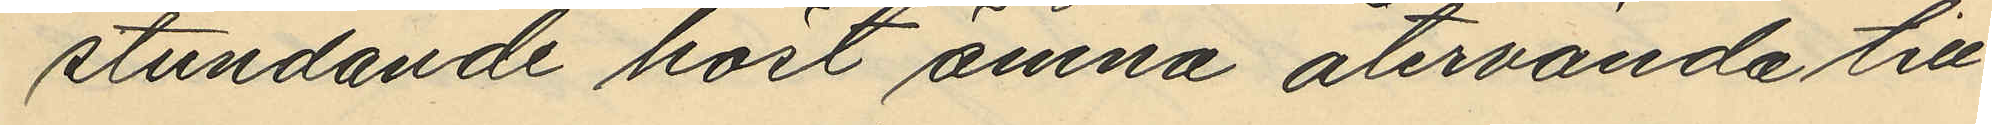stundande höst ämna återvända till
